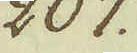207.
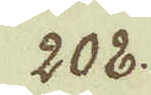208.
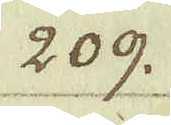209.
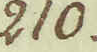210.
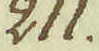211.
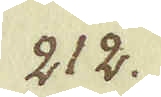212.
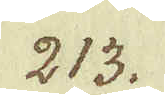213.
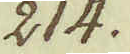214.
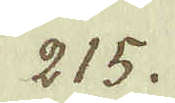215.
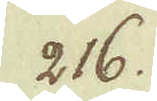216.
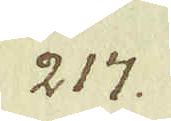217.
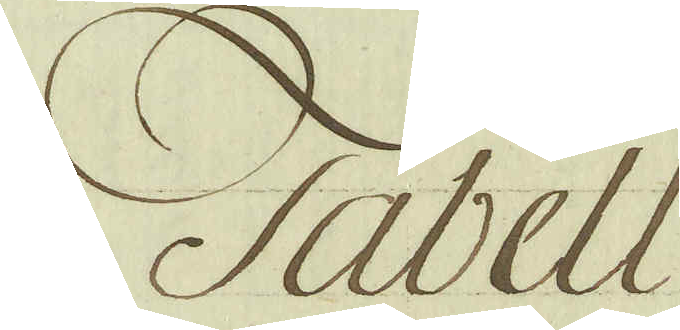Tabell
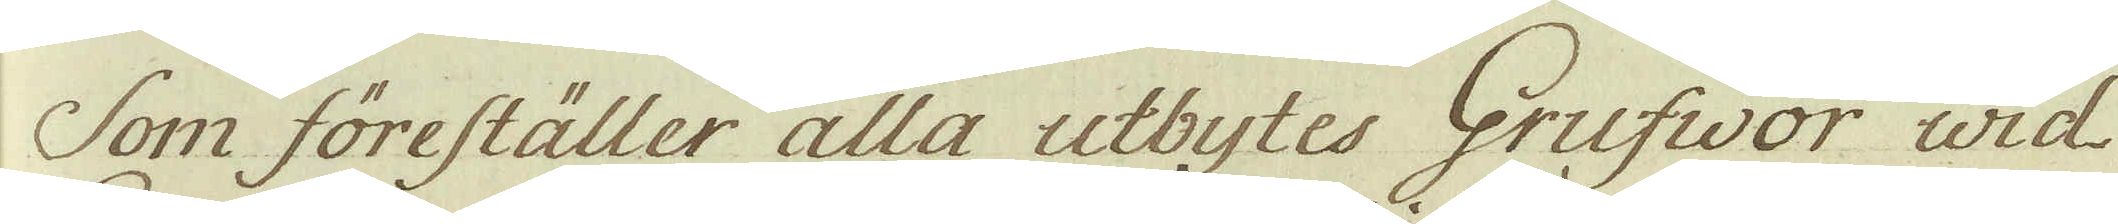Som föreställer alla utbytes Grufvor urd
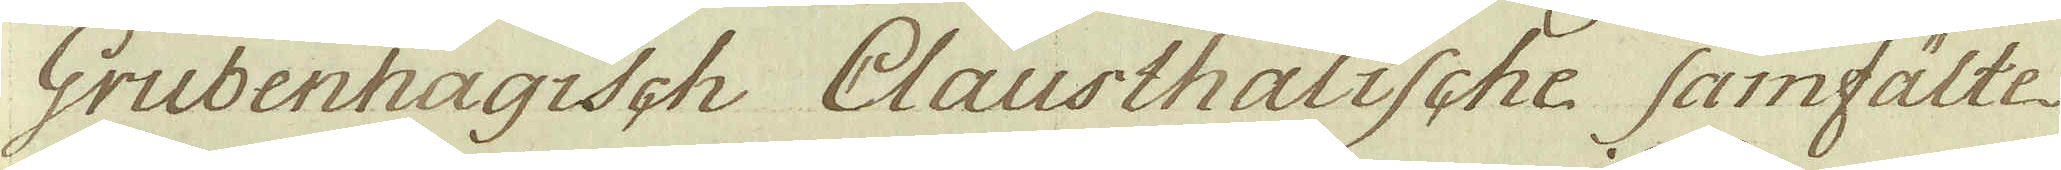Grubenhagisch Clausthalische samfälte
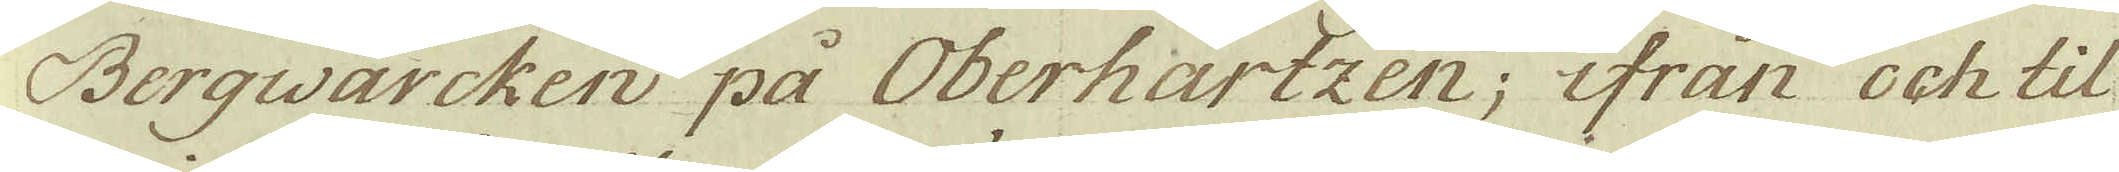Bergwärcken på Oberhartzen; ifrån och til-
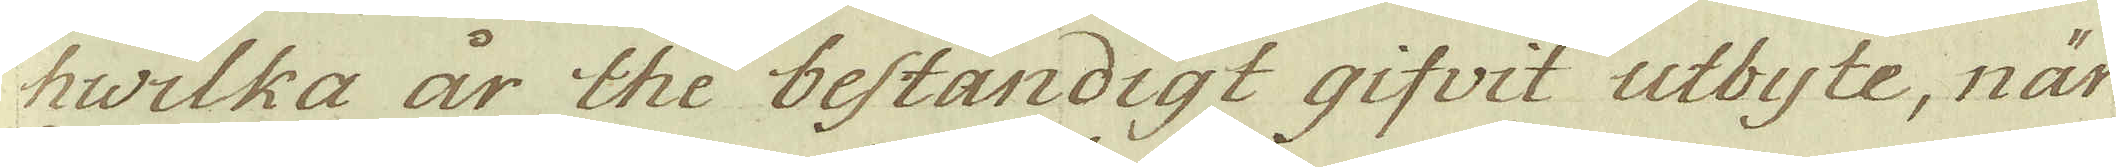hwrlka år the bestandigt gifvit utbyte, när
